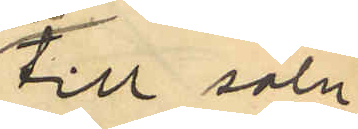till salu
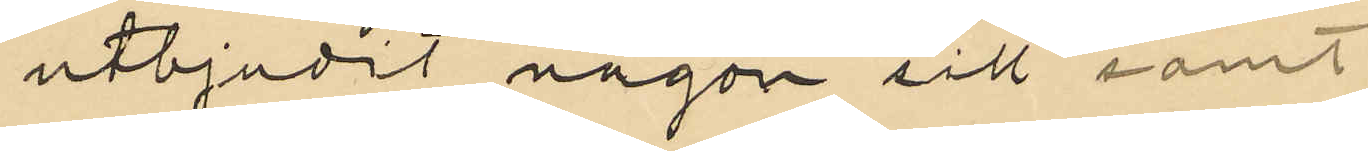utbjudit någon sill samt
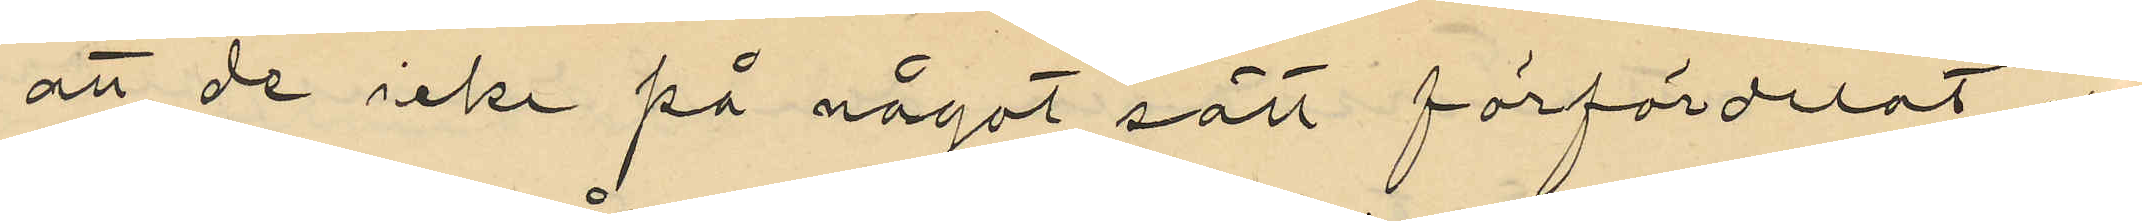att de icke på något sätt förfördelat eller
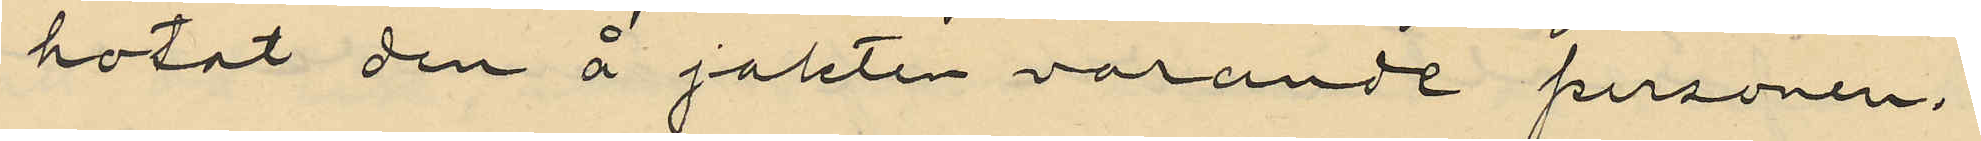hotat den å jakten varande personen.
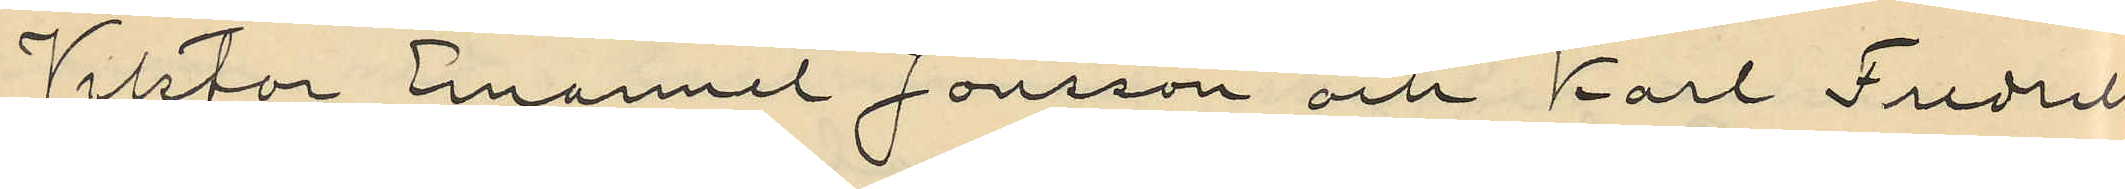Viktor Emanuel Jonsson och Karl Fredrik
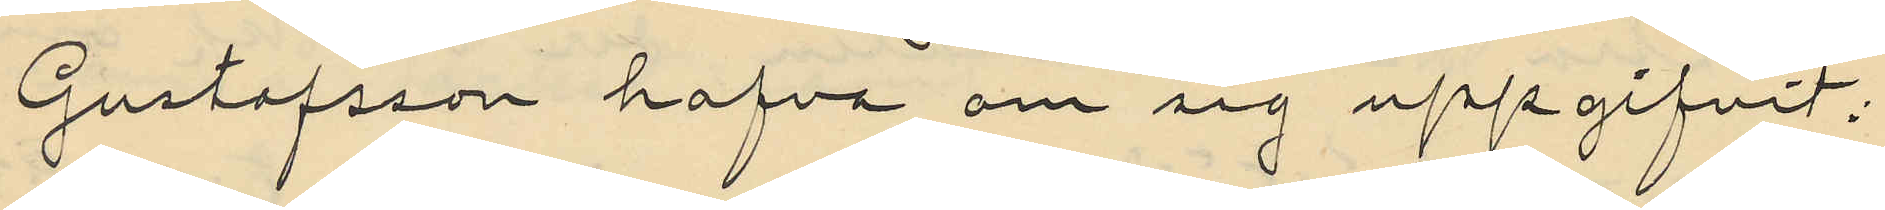Gustafsson hafva om sig uppgifvit;
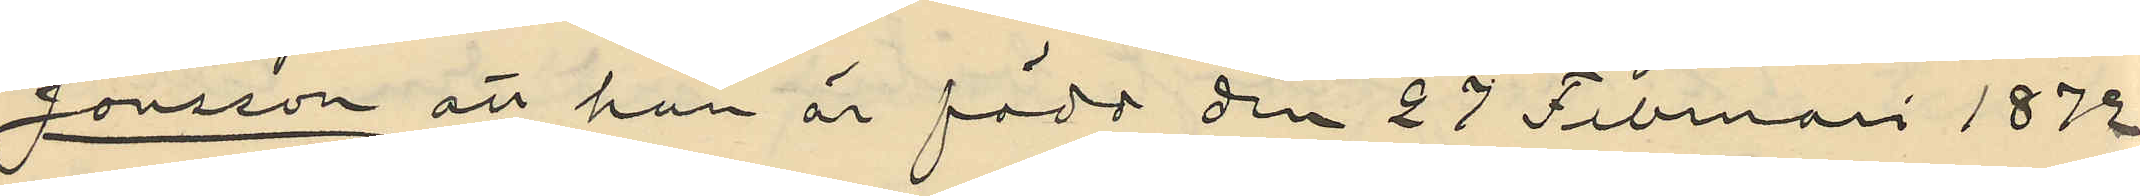Jonsson att han är född den 27 Februari 1872.
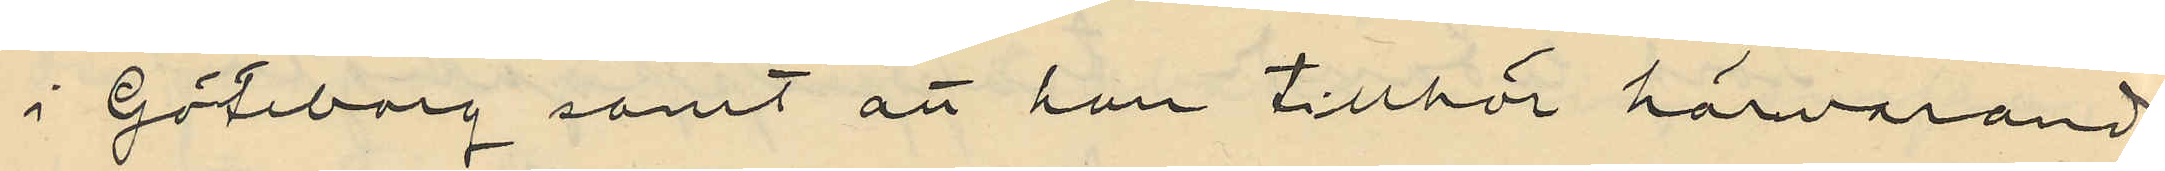i Göteborg samt att han tillhör härvarande
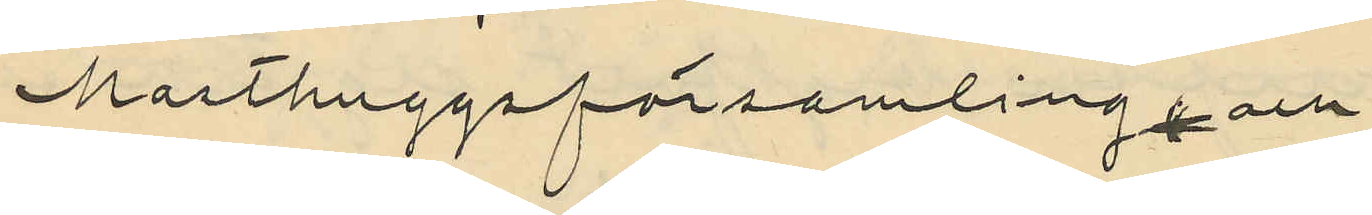Masthuggsförsamling, och
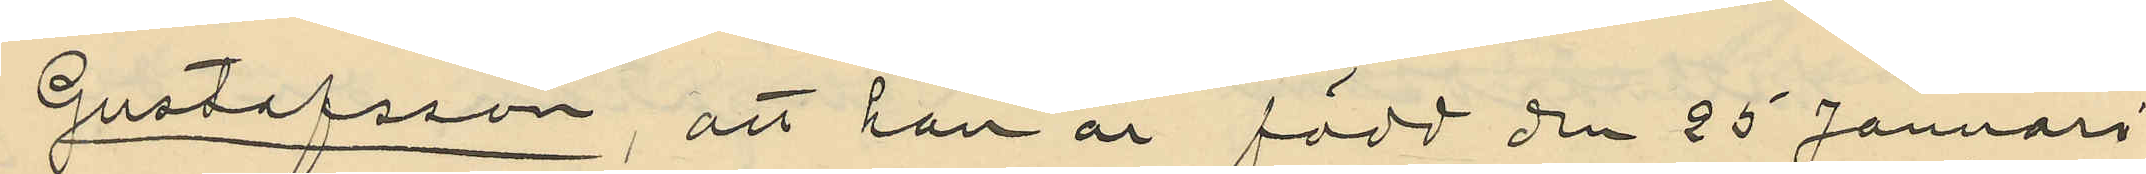Gustafsson, att han är född den 25 Januari
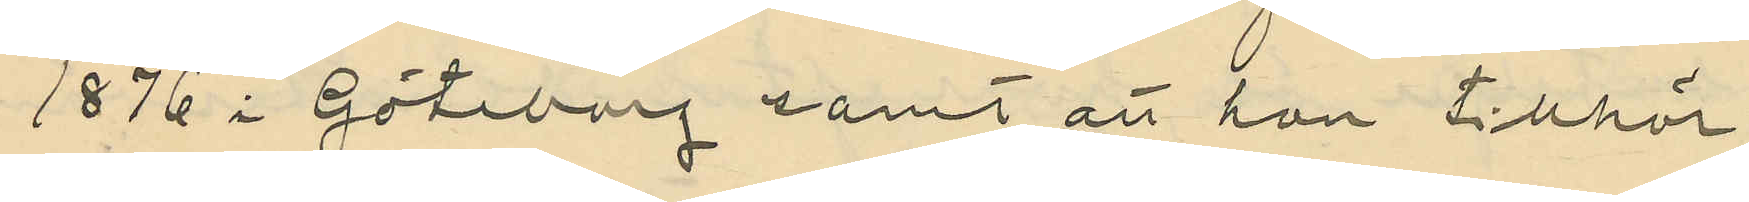1876 i Göteborg samt att han tillhör
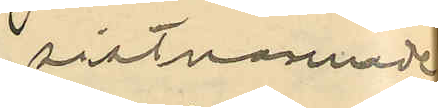sistnämnde
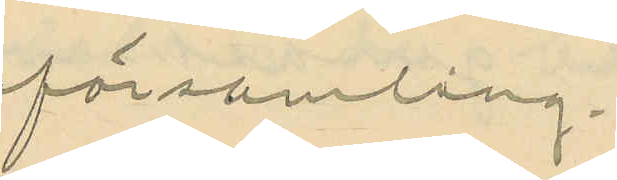församling.
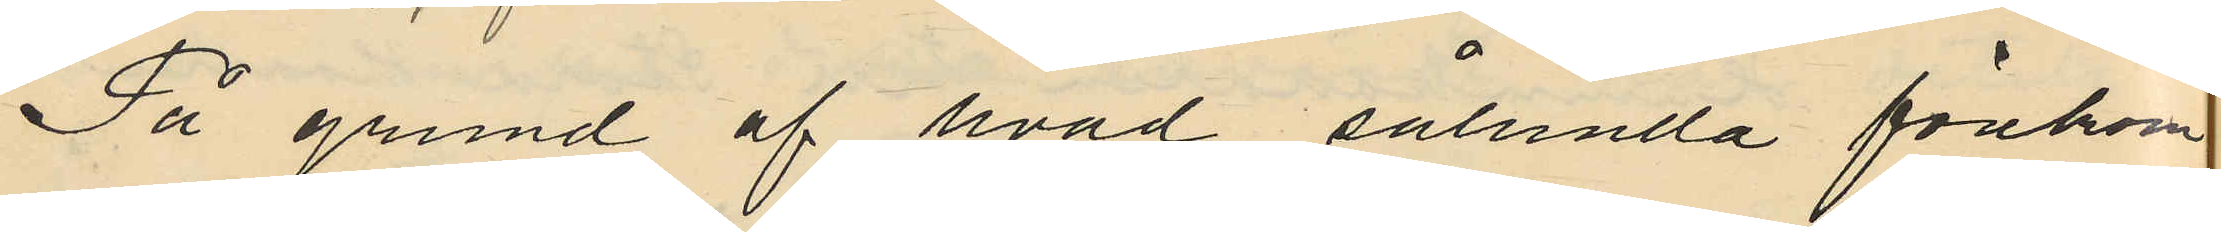På grund af hvad sålunda förekom¬
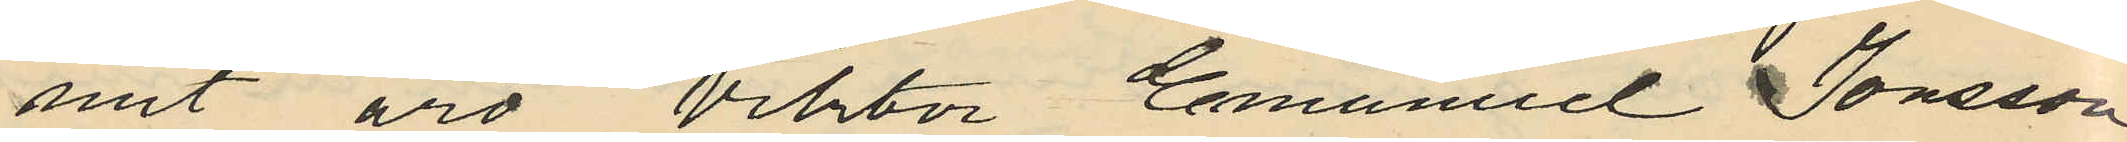mit äro Viktor Emanuel Jonsson
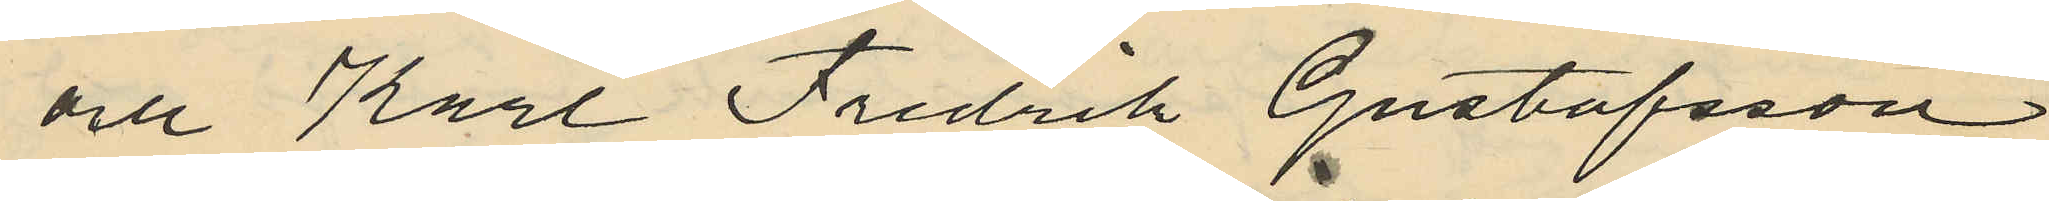och Karl Fredrik Gustafsson
